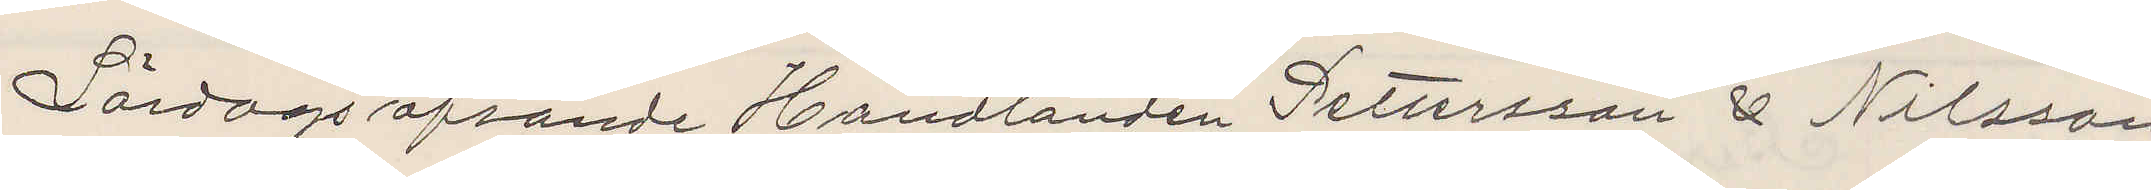Lördags afsände Handlanden Pettersson & Nilsson
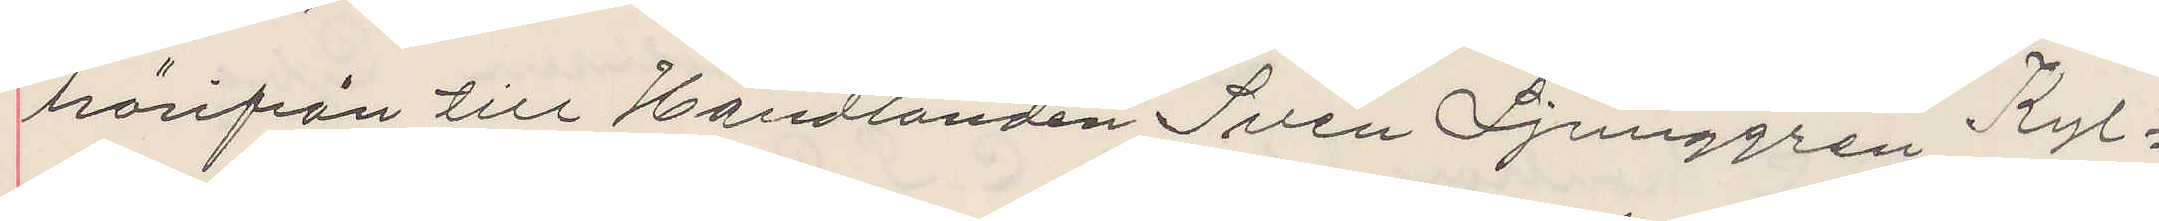härifrån till Handlanden Sven Ljunggren Kyl¬
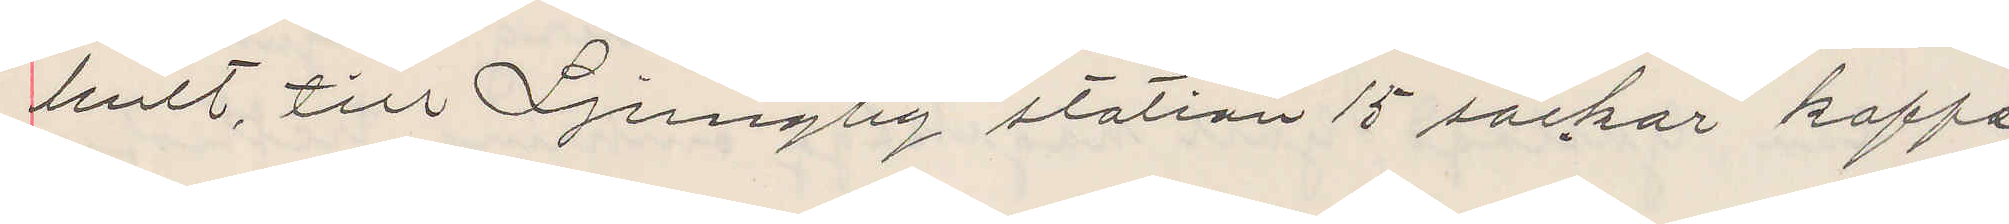hult, till Ljungby station 15 säckar kaffe
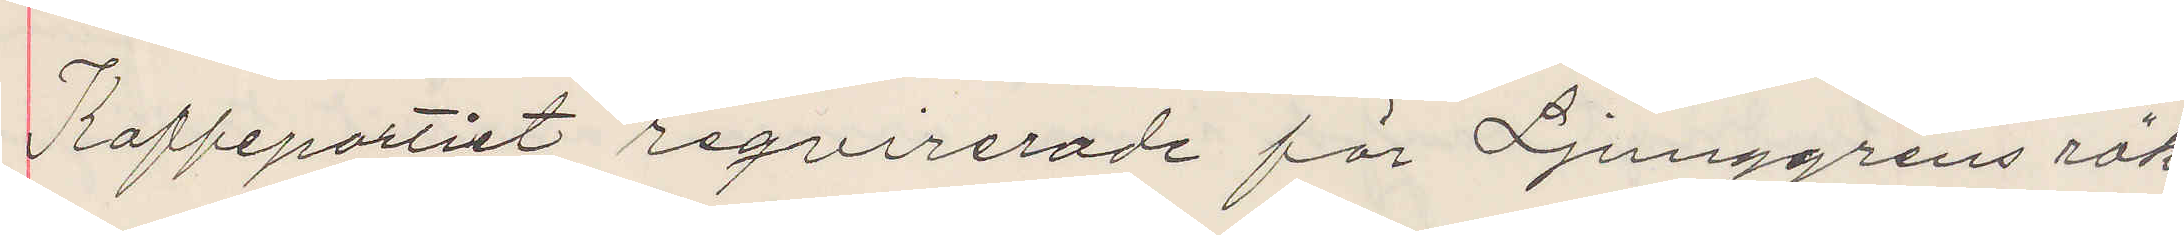Kaffepartiet reqvirerade för Ljunggrens räk¬
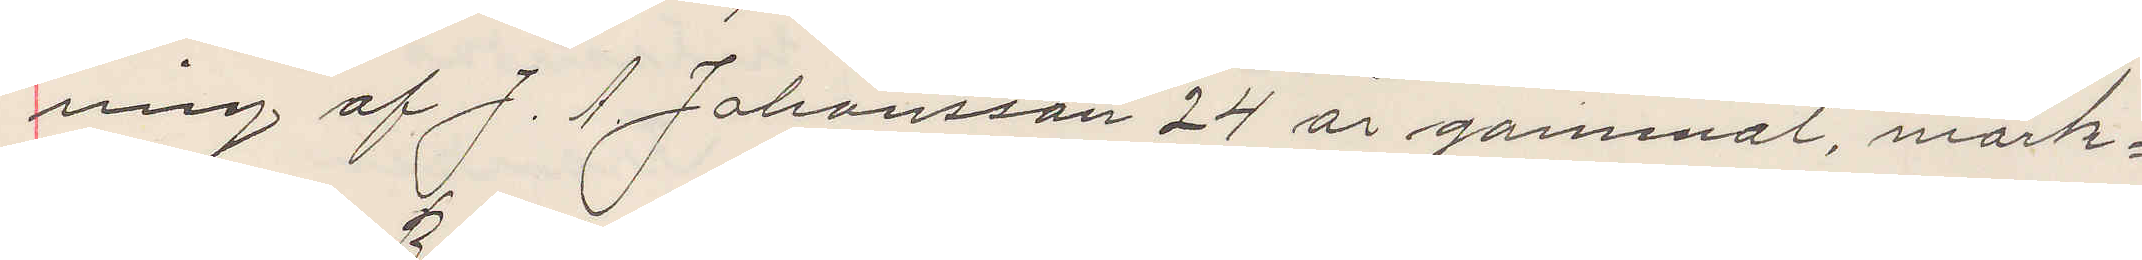ning af J. A. Johansson 24 år gammal, mörk¬
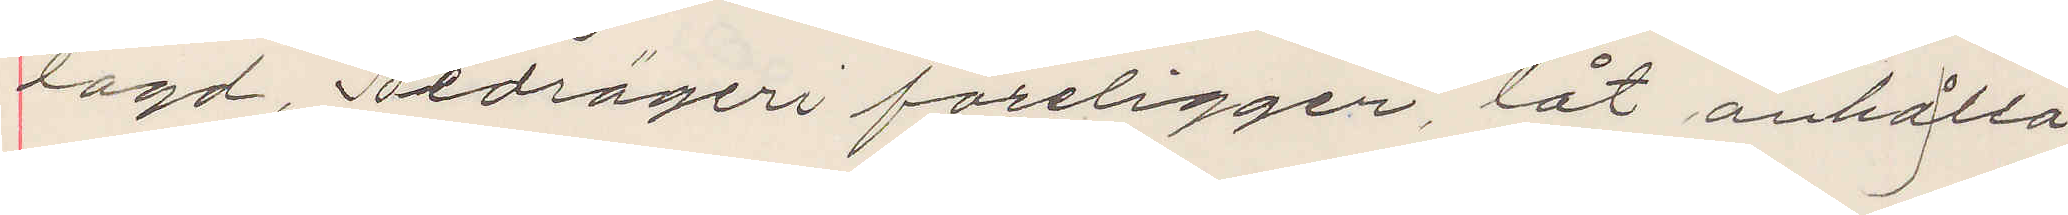lagd, bedrageri föreligger, låt anhålla
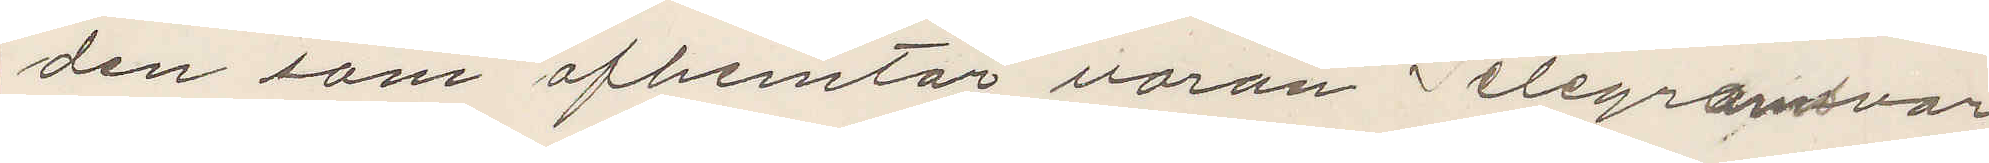den som afhemtar varan Telegramsvar
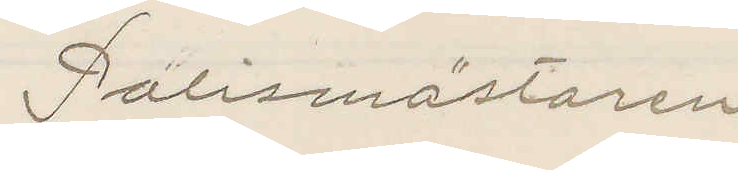Polismästaren
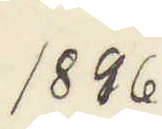1896
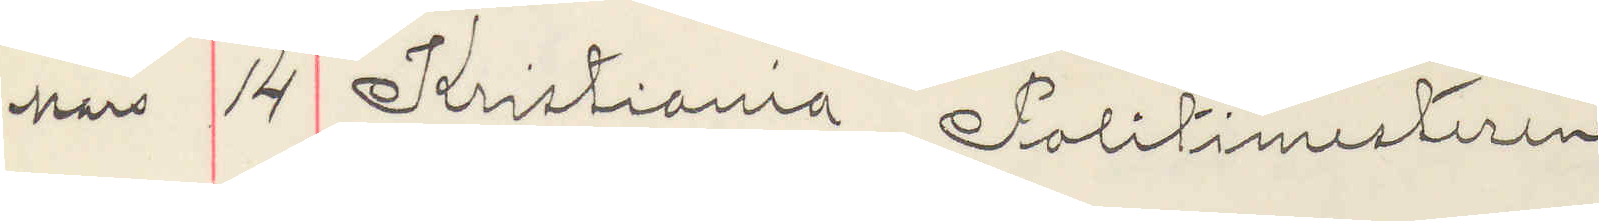Mars 14 Kristiania Politimesteren
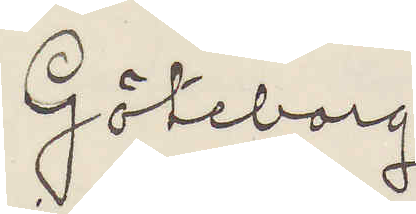Göteborg
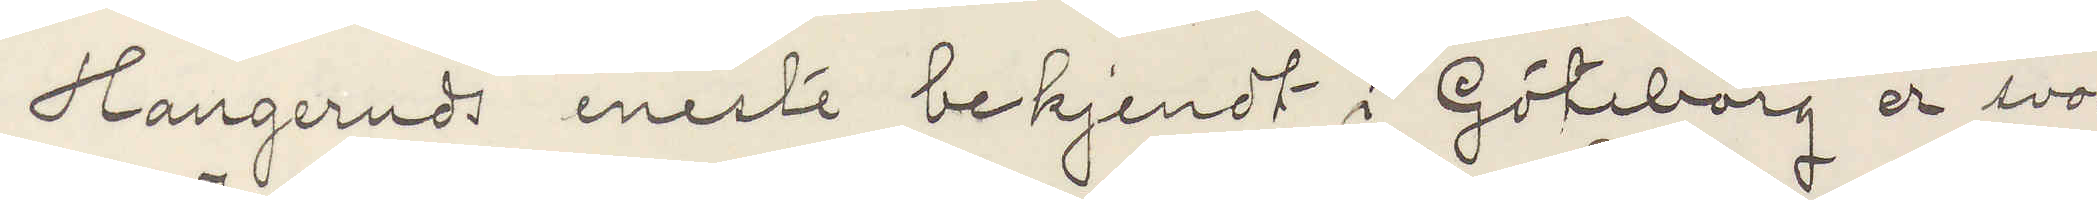Hangeruds eneste bekjendt i Göteborg er svo¬
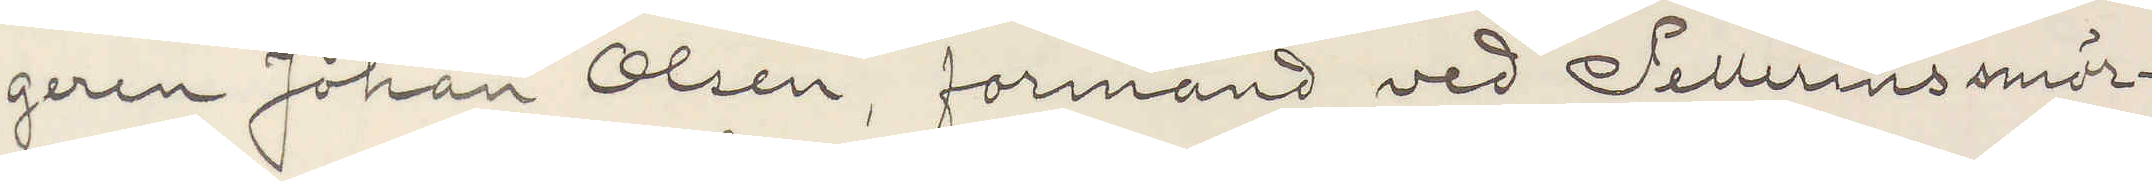geren Johan Olsen formand vid Pellerins smör¬
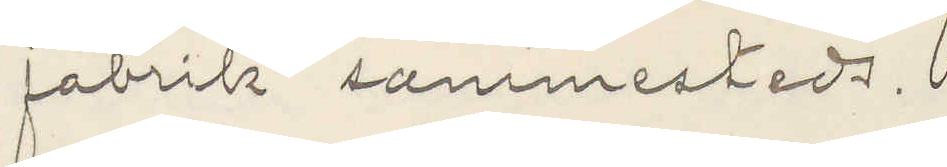fabrik sammesteds.
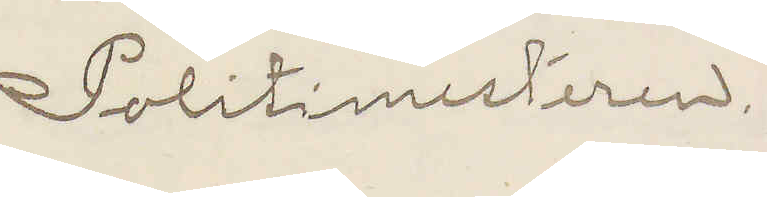Politimesteren.
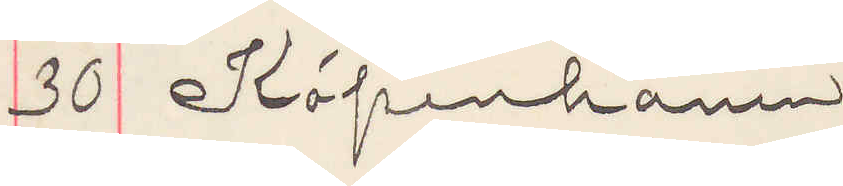39 Köpenhamn
